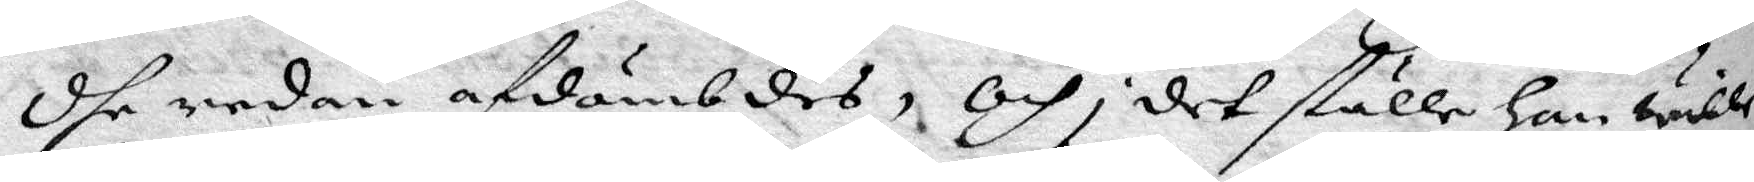dhe redan afdömbdes, Och i det ställe han wille
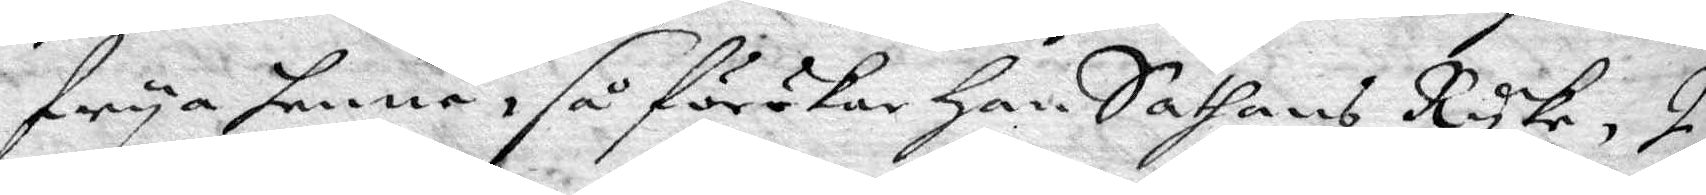frya henne, så förökar han Sathans Ryke, I
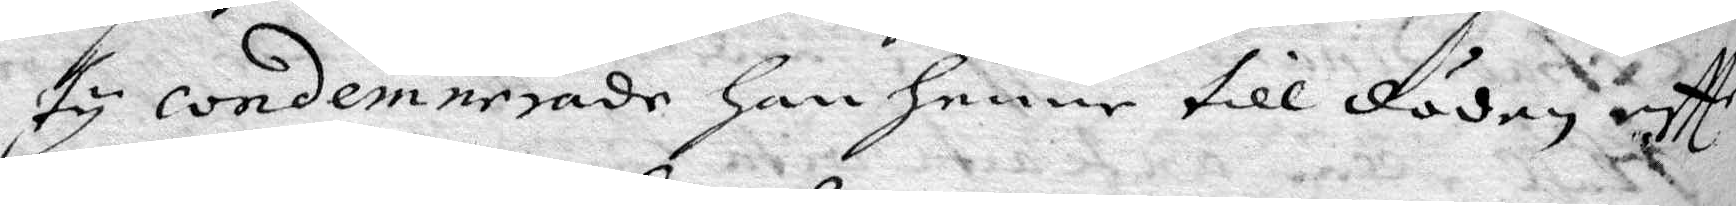tu condemnerade han henne till döden eftter
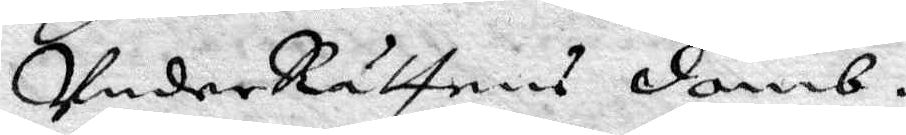UnderRättens domb.
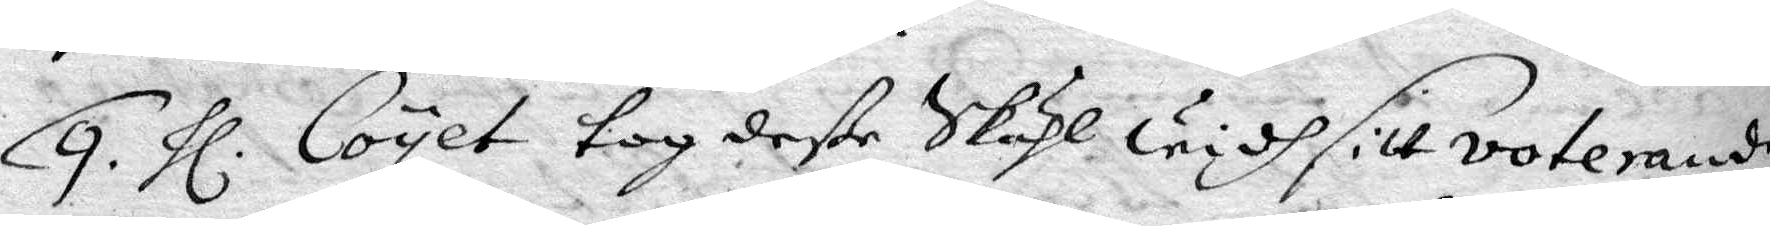9. hl. Coyet tog deße Skähl widh sitt voterande
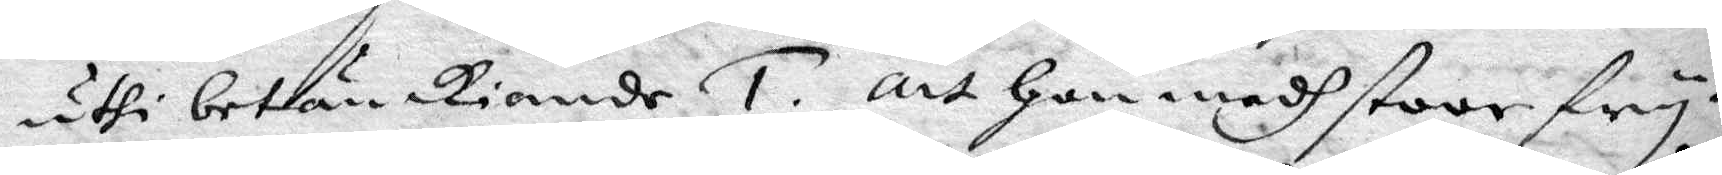uthi betänkiande 1. att hon medh stoor fry¬
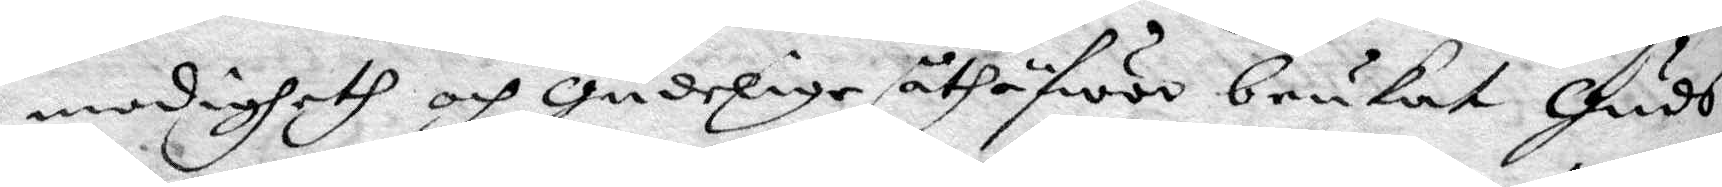modigheth och gudelige åthäfwor brukat Guds
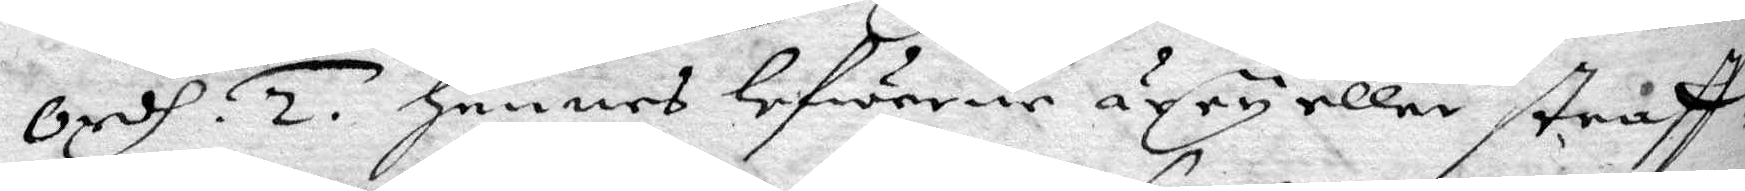ordh. 2. hennes lefwerene är ey eller straff¬
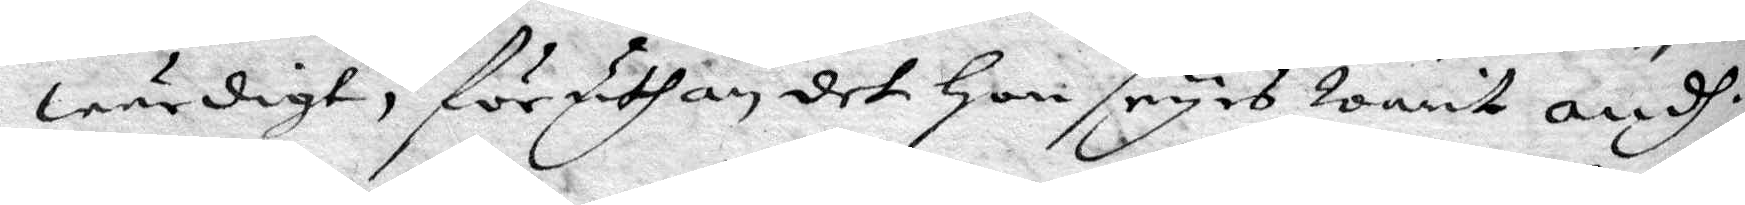wärdigt, föruthan det hon synes warit ondh,
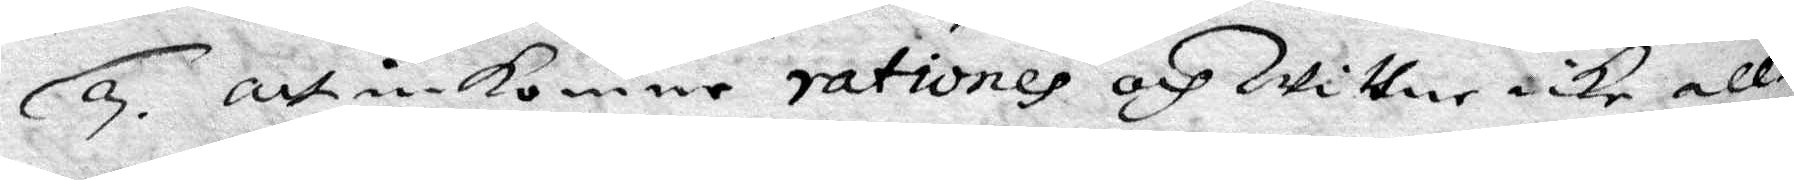3. att inkomne rationes och Wittne icke all¬
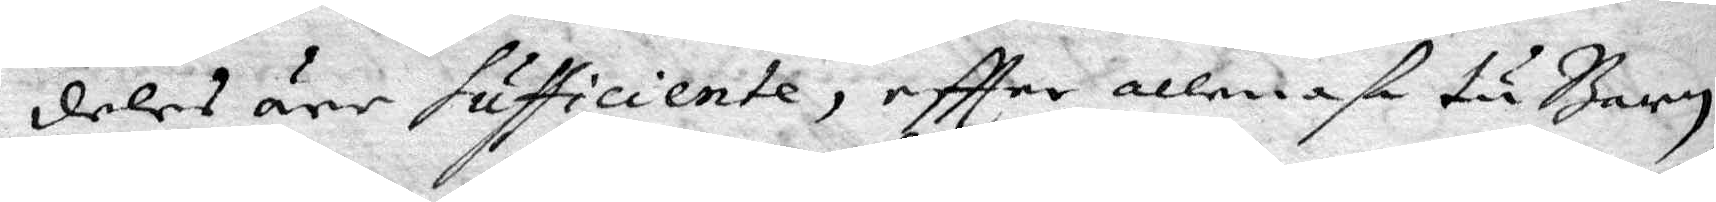deles äre sufficiente, eftter allenast tu barn
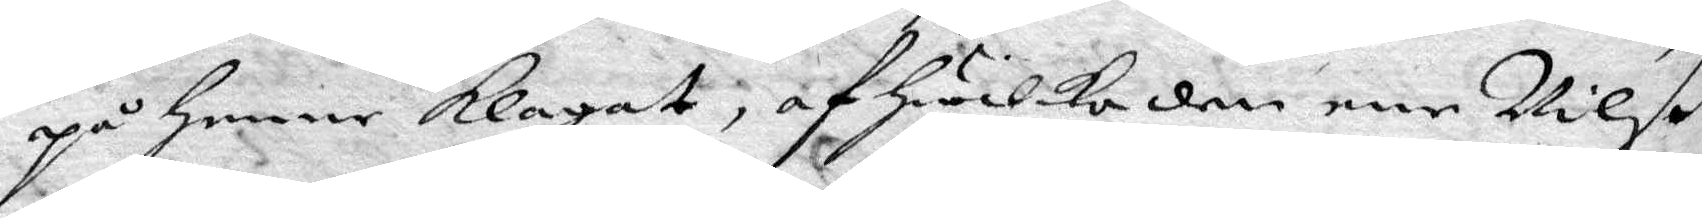opå henne klagat, af hwilka den ene Nilß
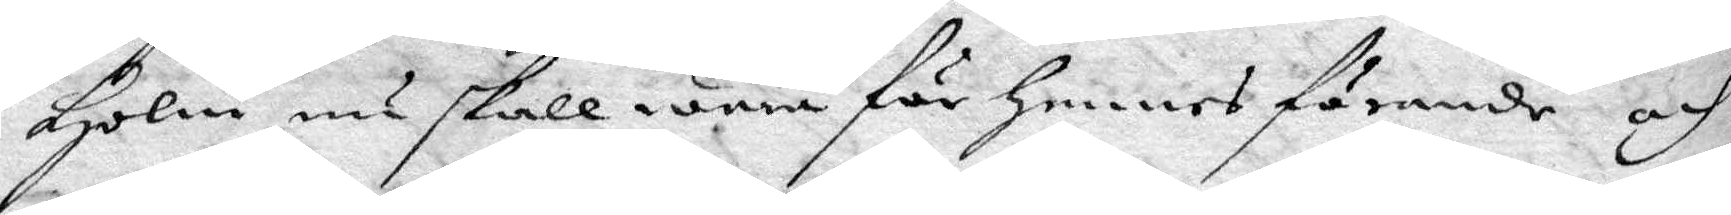Holm nu skall wara för hennes förande och
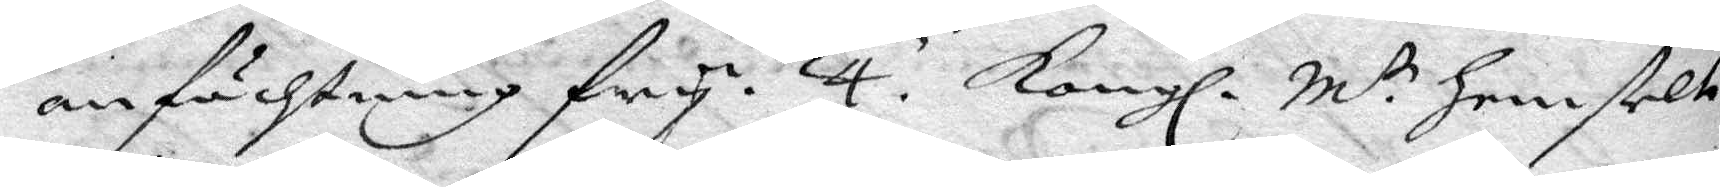anfächtning fry. 4. Kongl. M.tr hemstelte
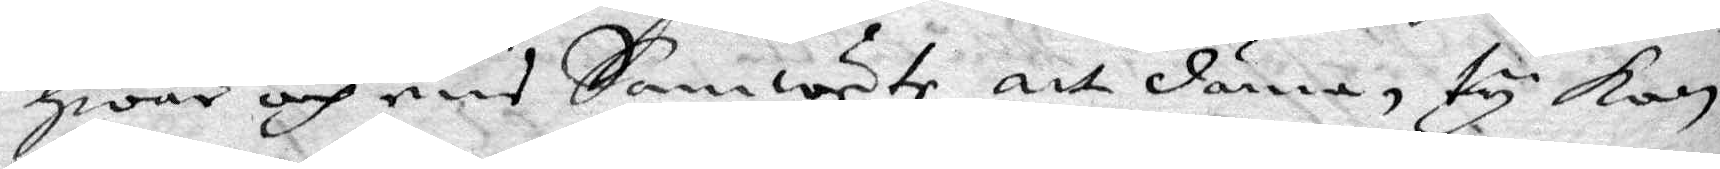hwar och ens Samwete att dmöa, ty kan
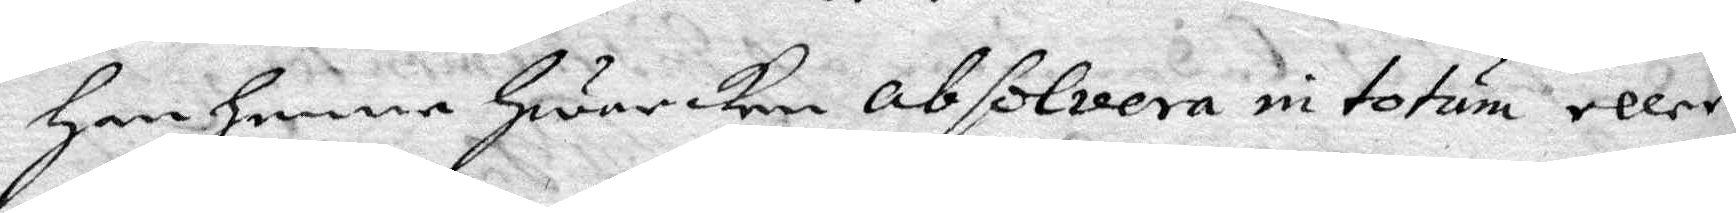han henne hwarken absolvera in totum eller
